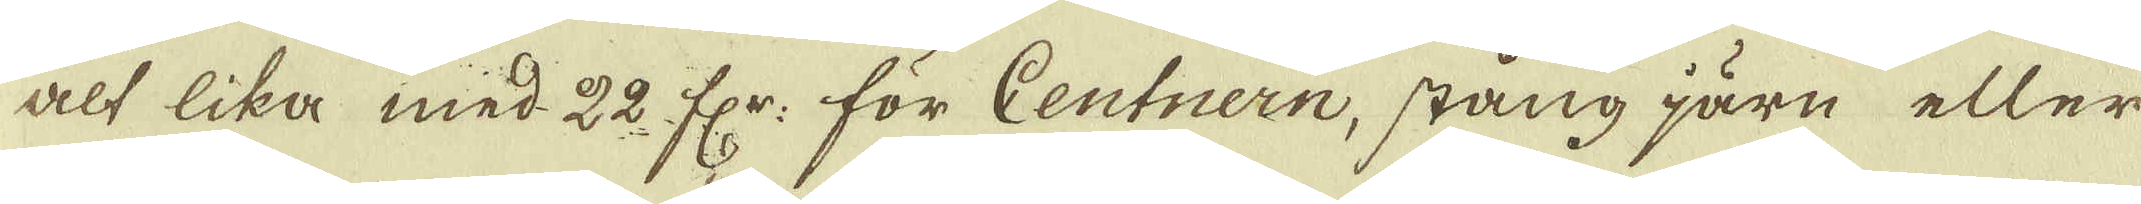alt lika med 22 fr: för Centnern, stång järn eller
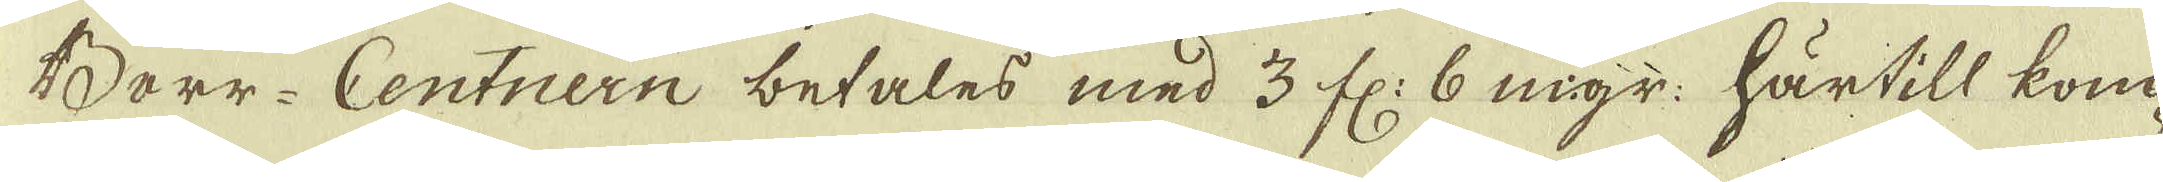Borr-Centriern betales med 3 fl: 6 mgr: härtill kom-
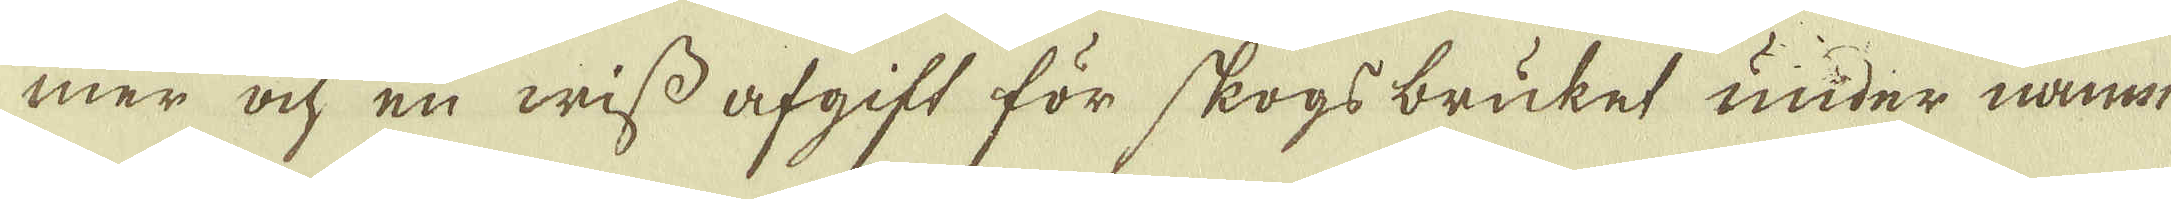mer och en wiss afgift för skogs bruket under namn
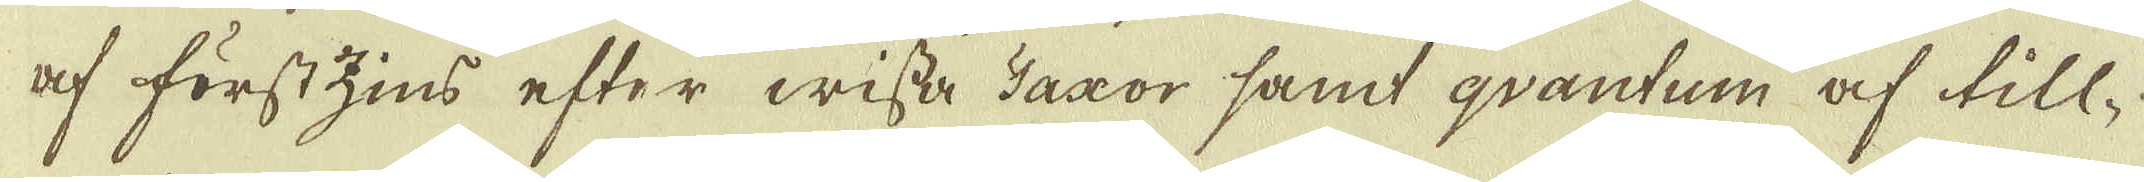af förstzins efter wissa Taxor samt qvantum af till-
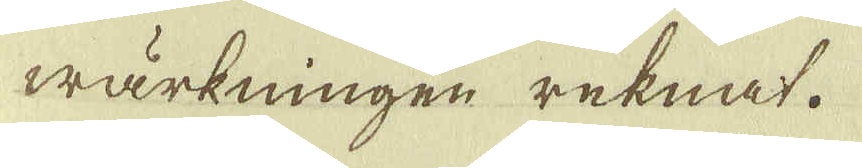wärkningen reknat.
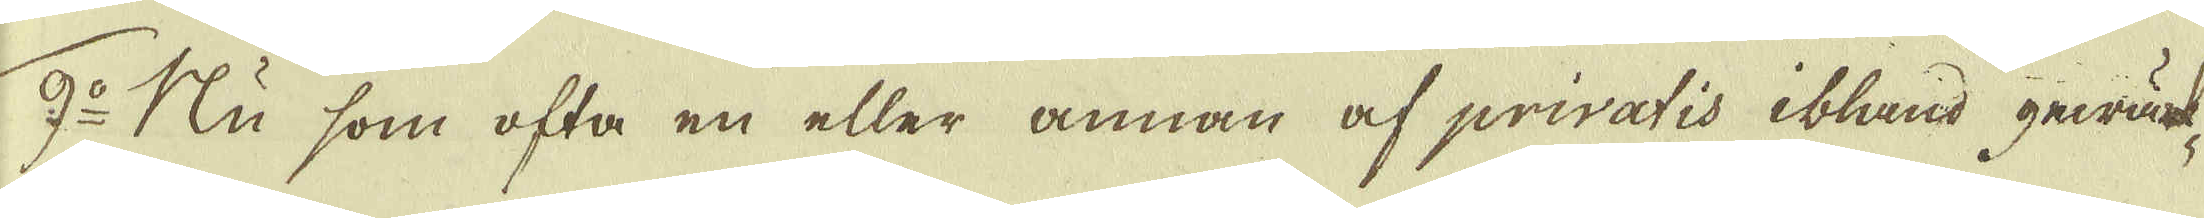9:o Nu som ofta en eller annan af privatis ibland gewärk-
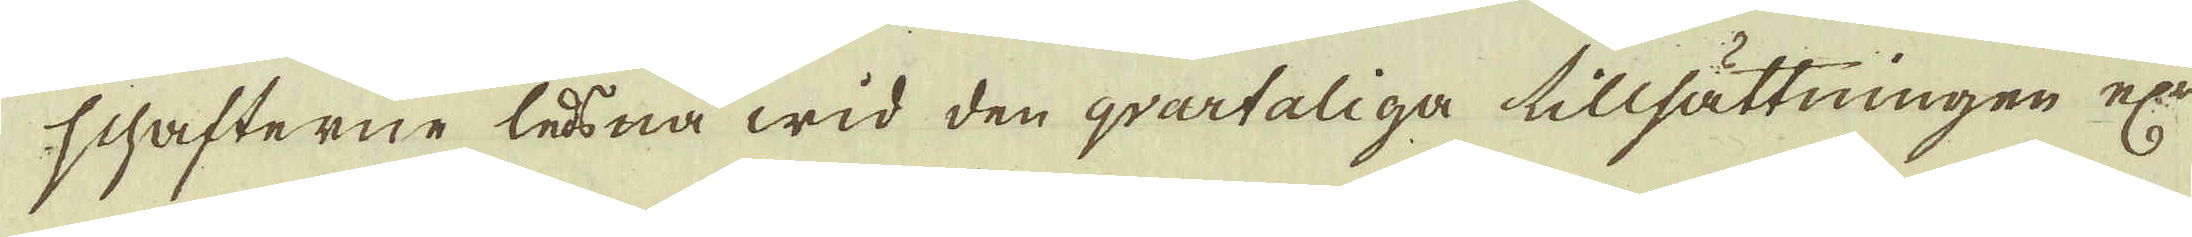schafterne låna wid den qvartaliga tillsättningen ej
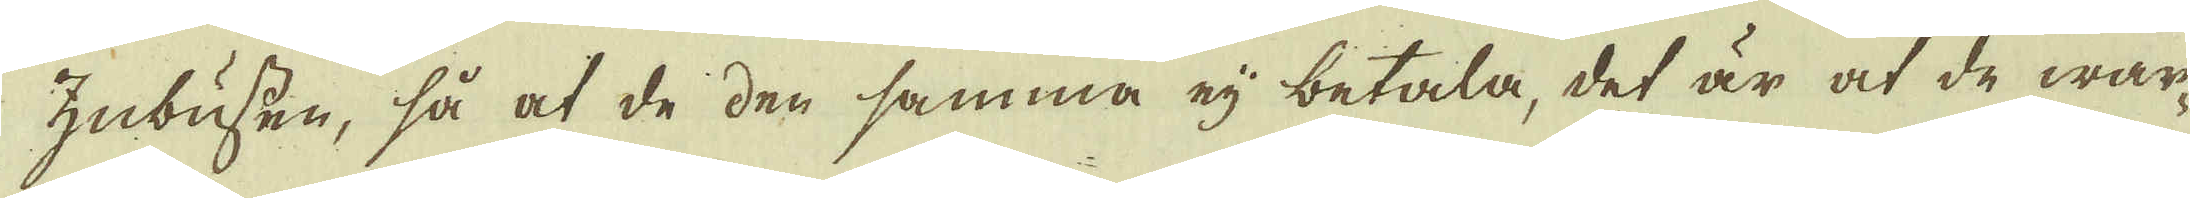Zubussen, så at de den samma ej betala, det är at de war-
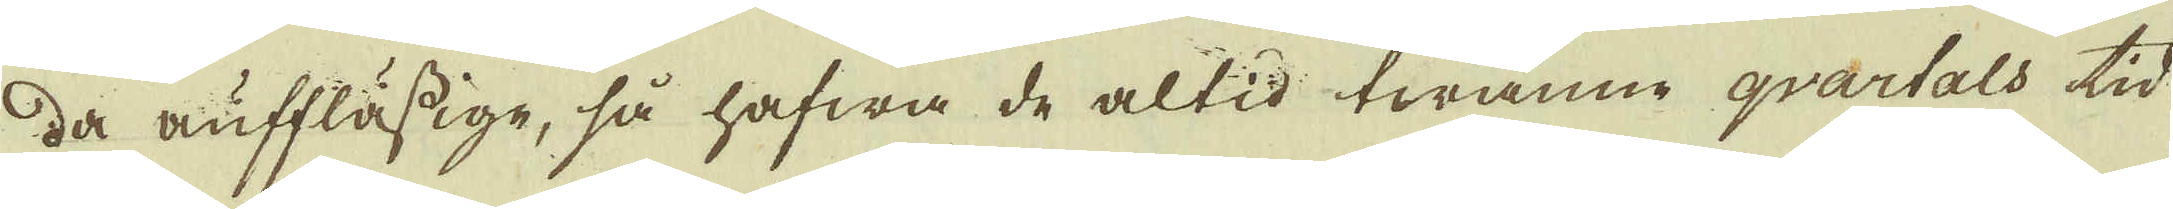da aufflässige, så hafwa de altid twänne qvartals tid
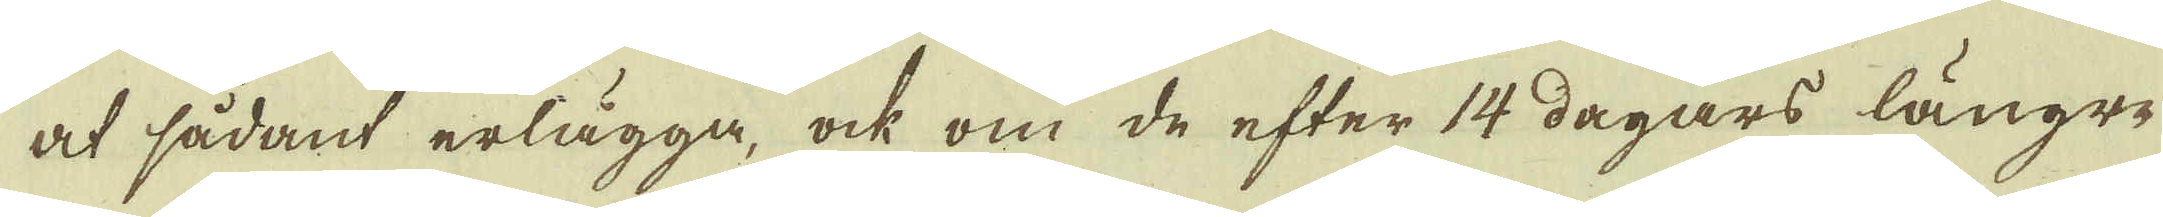at sådant erlägga, ock om de efter 14 dagars längre
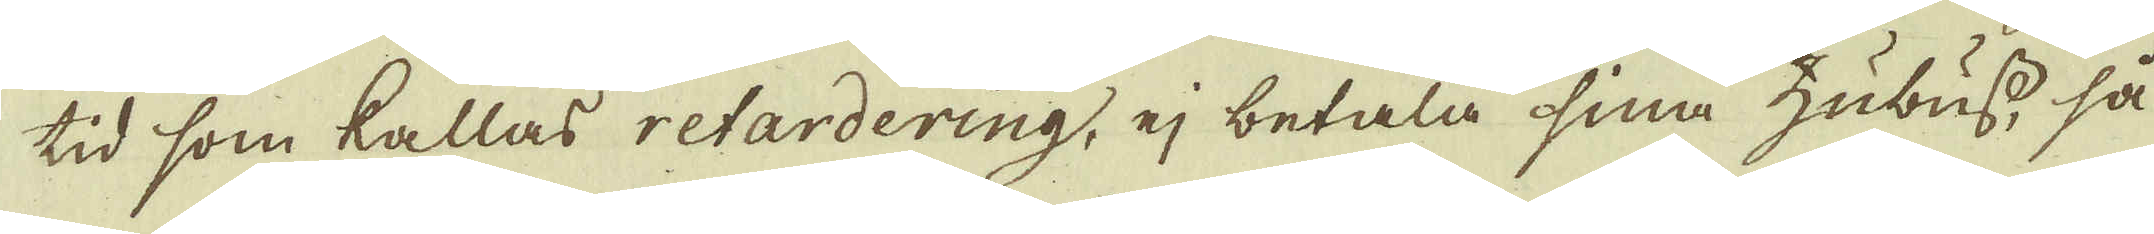tid som kallas retardering, ej betala sina hubuss så
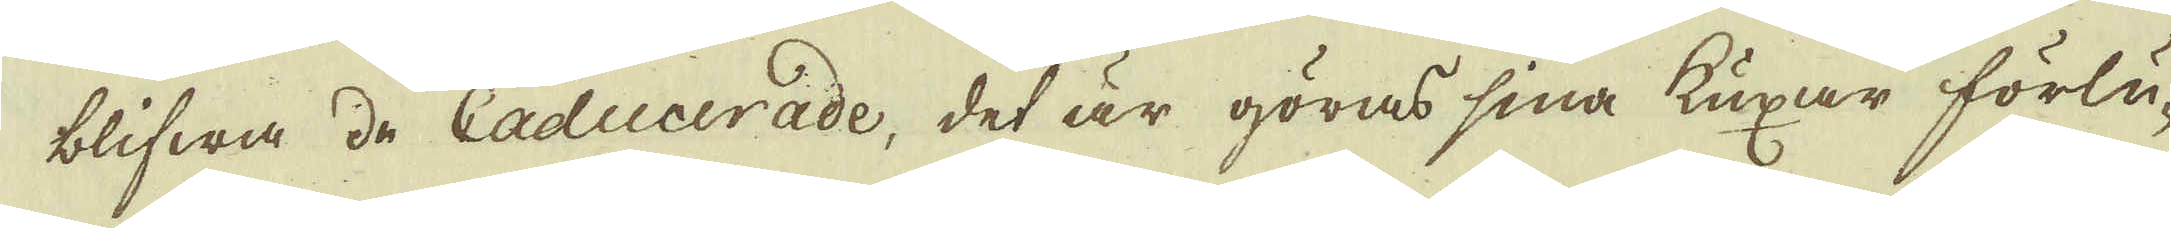blifwa de Caducerade, det är göras sina Kuxar förlu-
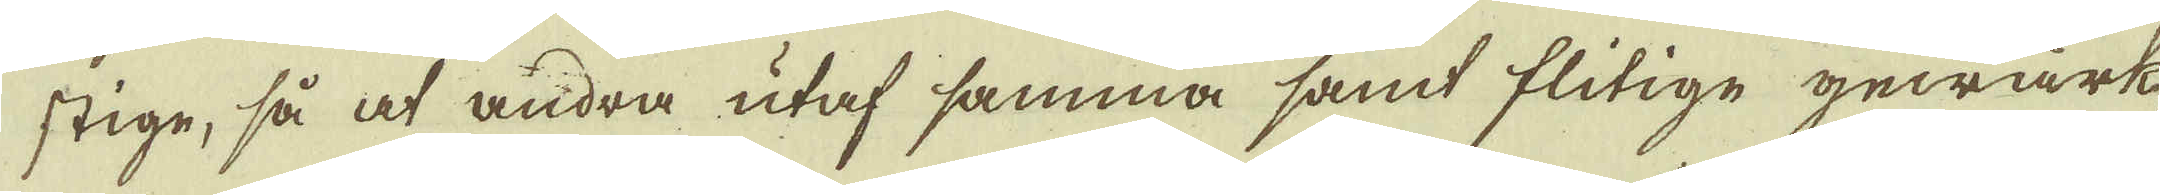stige, så at andra utaf samma samt flitige gewärk-
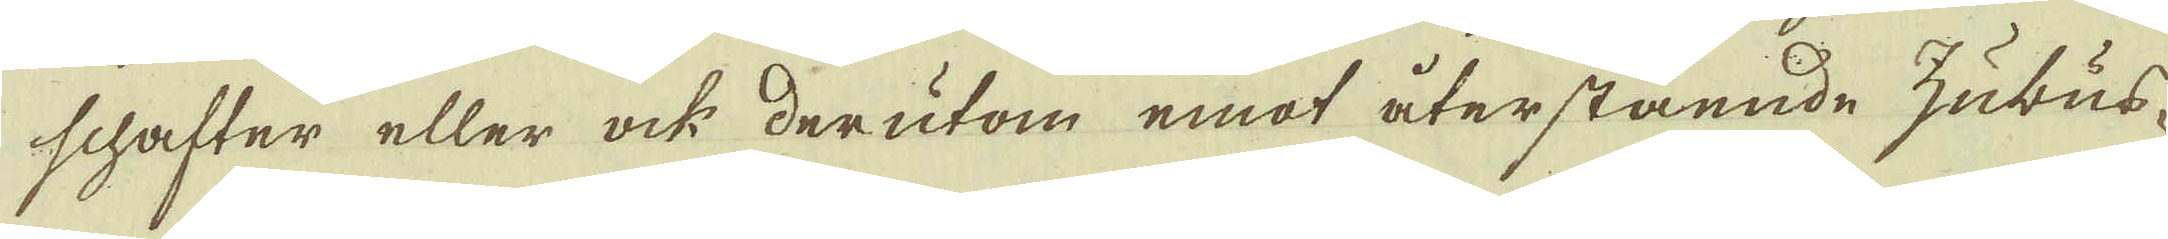schafter eller ock derutom emot återstående hubus-
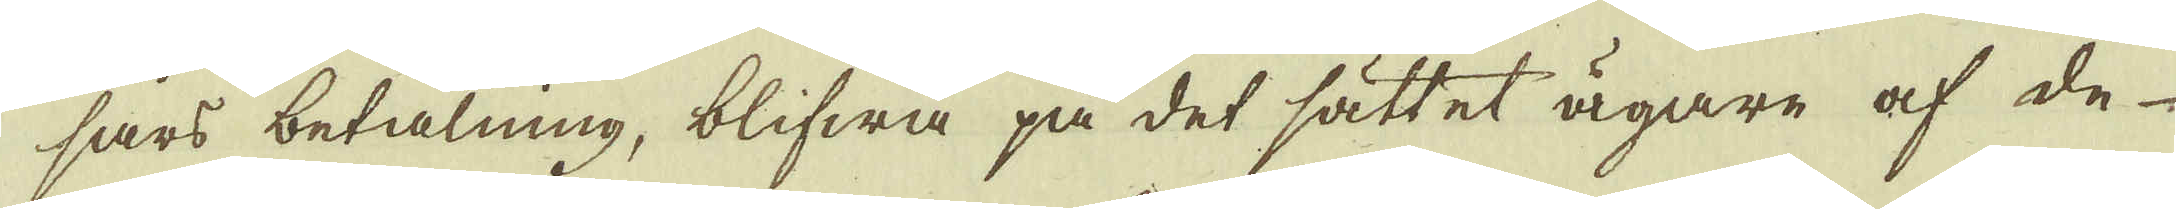sars betalning, blifwa på det sättet ägare af de
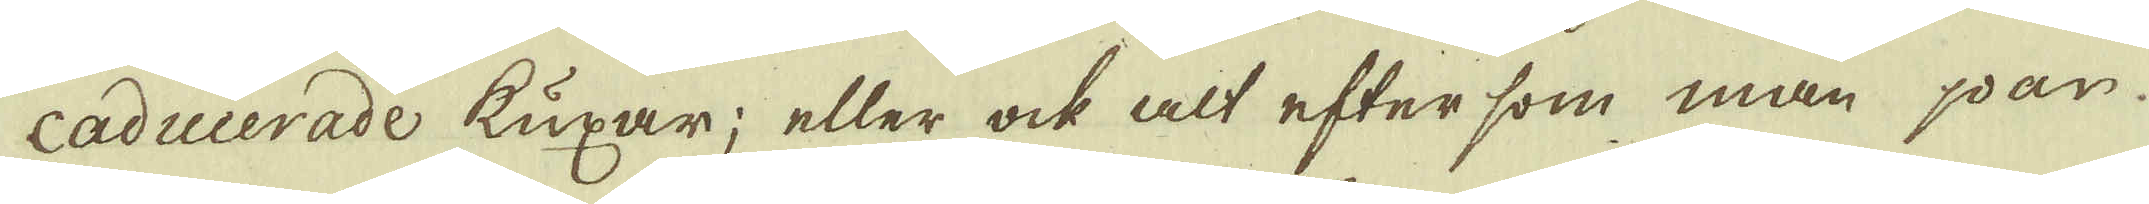caducerade kuxar; eller ock alt efter som man par
